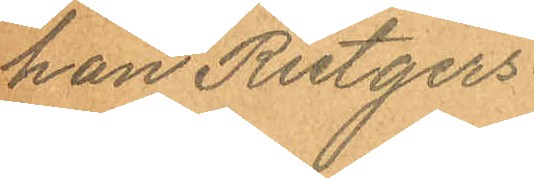han Rutgers
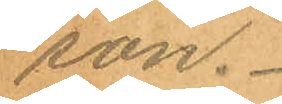son.
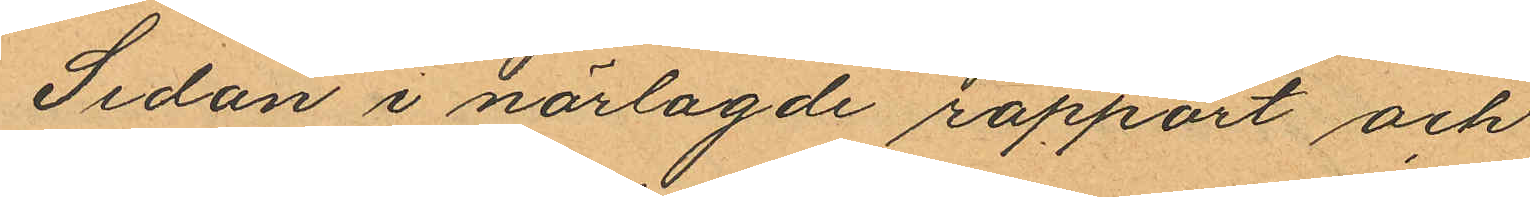Sedan i närlagde rapport och
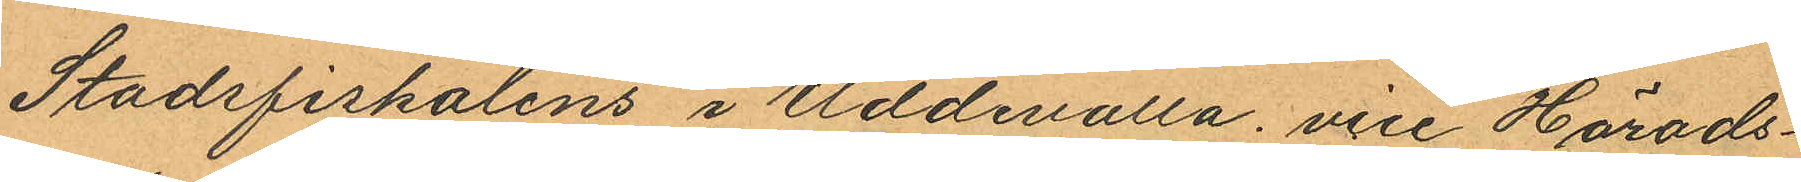Stadsfiskalens i Uddevalla vice Härads¬
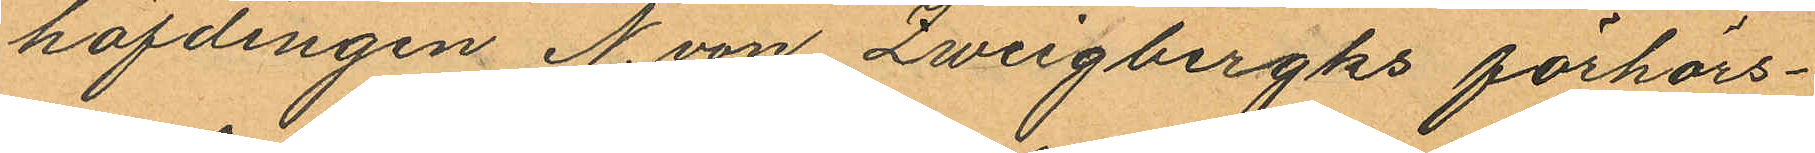höfdingen N. von Zweigbergks förhörs¬
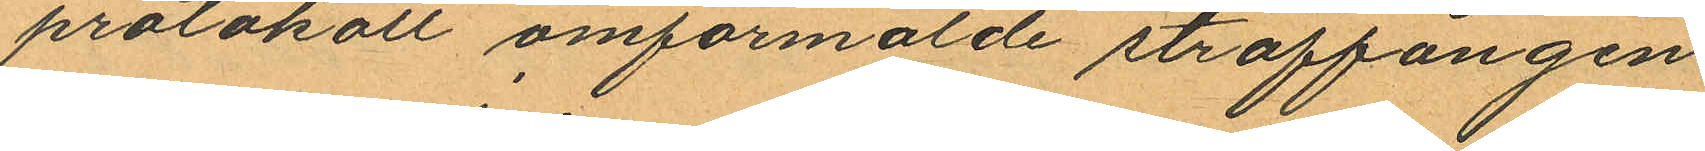protokoll omförmälde straffången
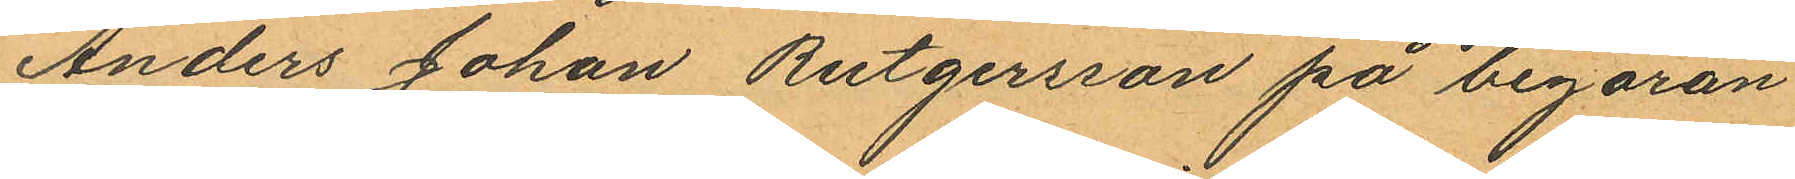Anders Johan Rutgersson på begäran
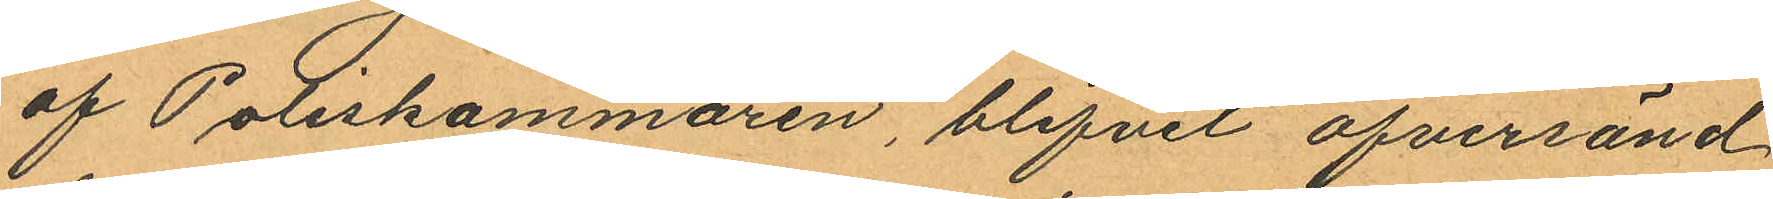af Poliskammaren, blifvit öfversänd
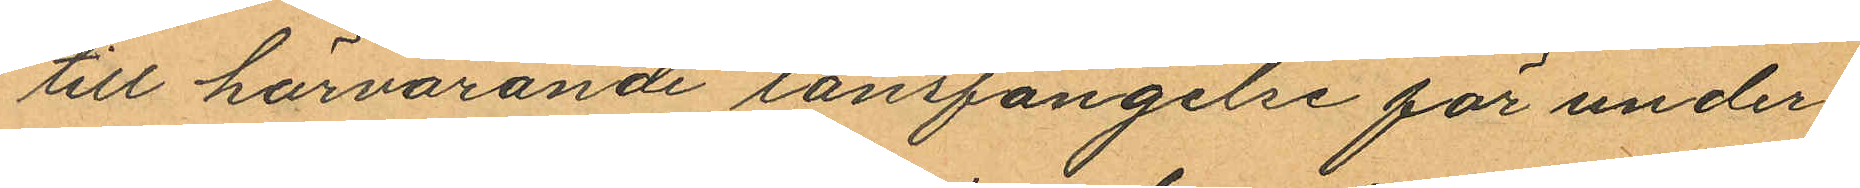till härvarande länsfängelse för under¬
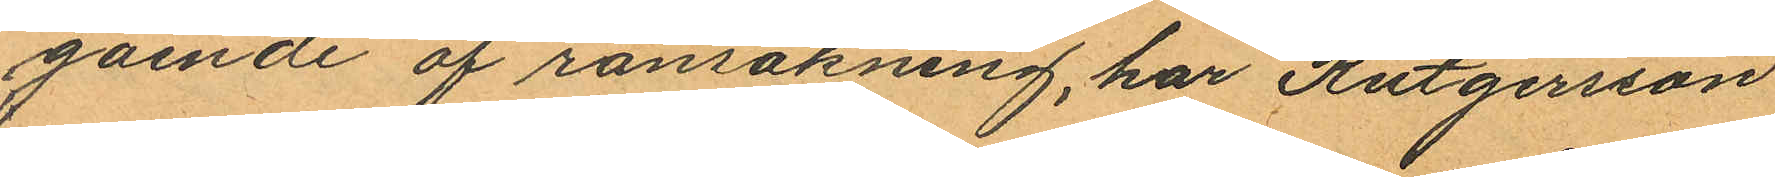gående af ransakning, har Rutgersson
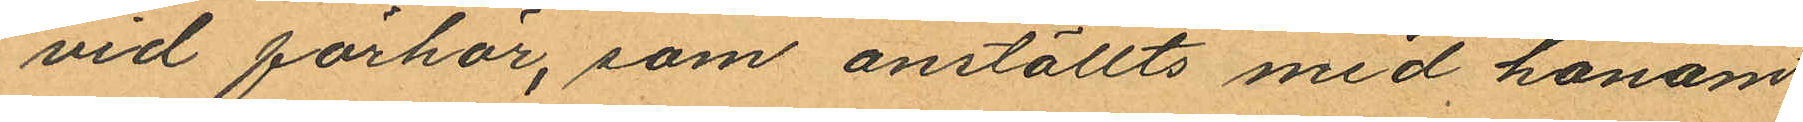vid förhör, som anställts med honom
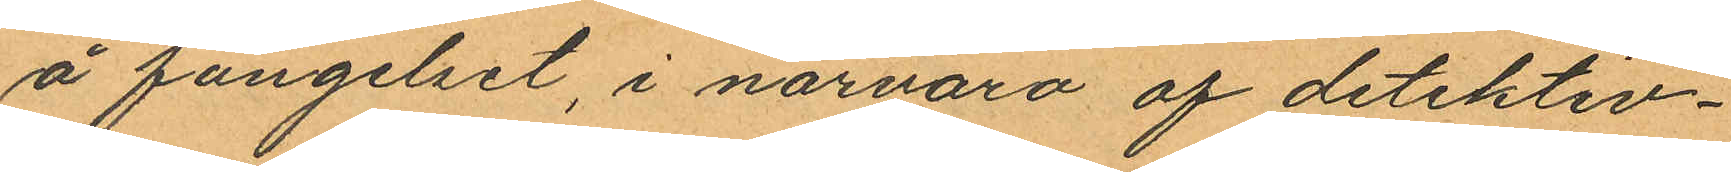å fängelset, i närvaro af detektiv¬
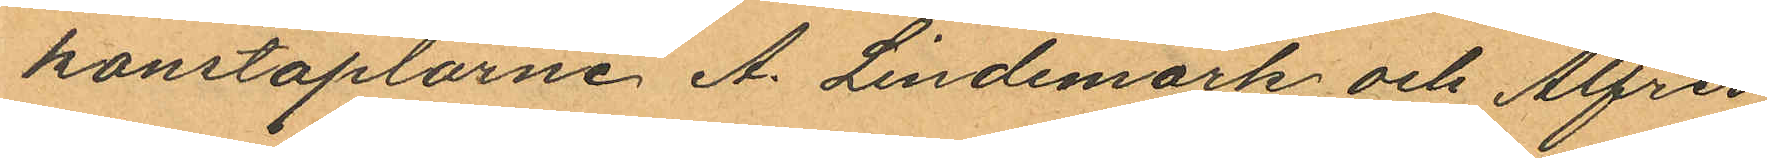konstaplarne A. Lindemark och Alfred
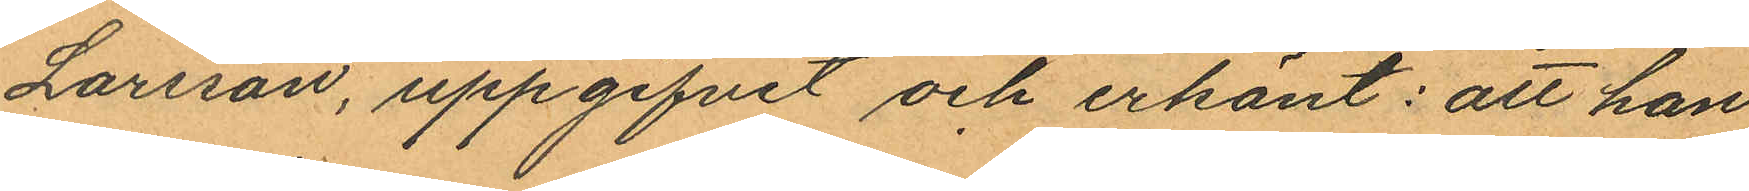Larsson, uppgifvit och erkänt: att han
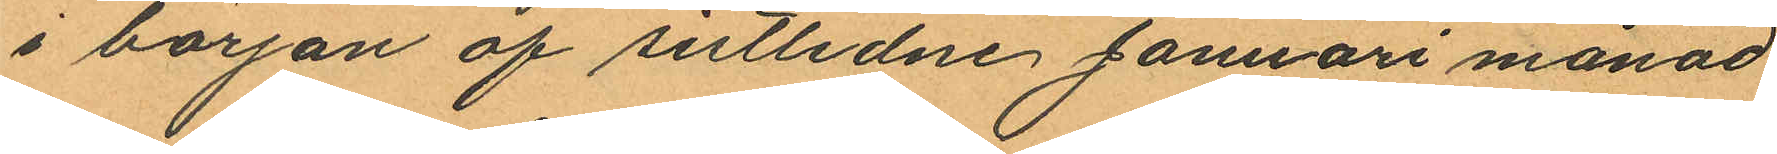i början af sistlidne Januari månad
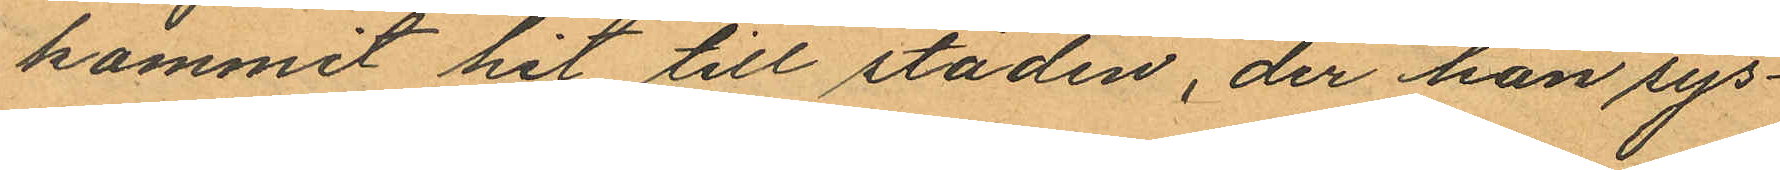kommit hit till staden, der han sys¬
